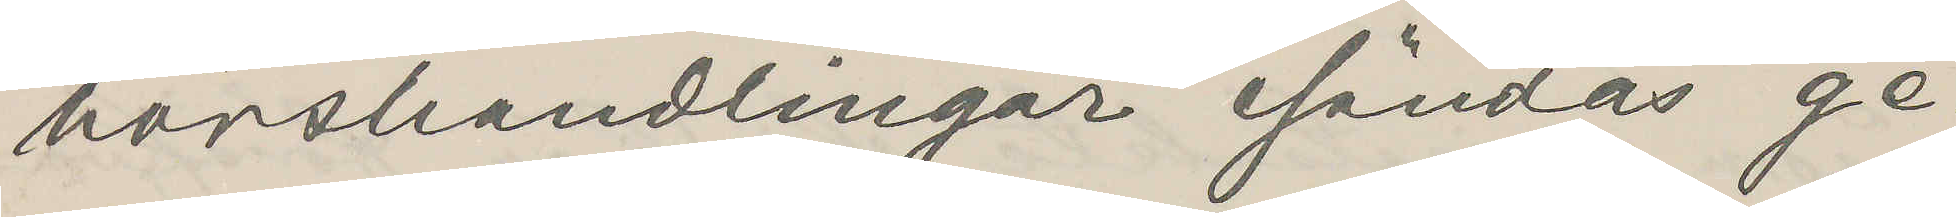hörshandlingar sändas ge¬
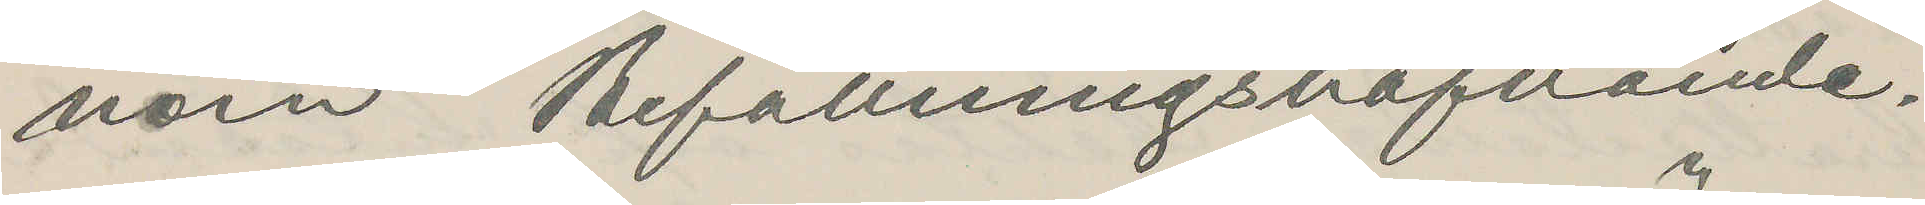nom Befallningshafvande.
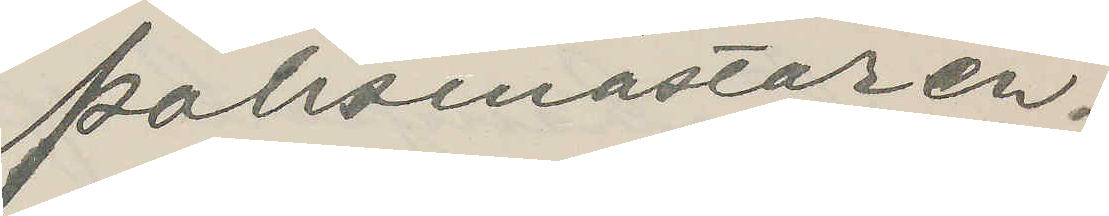Polismästaren.
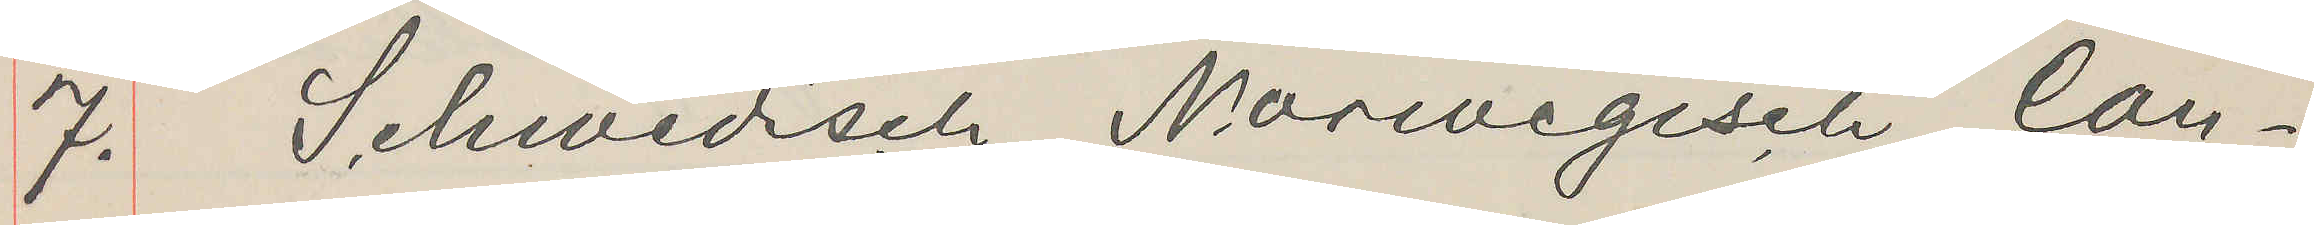7. Schwedisch Norwegisch Con¬
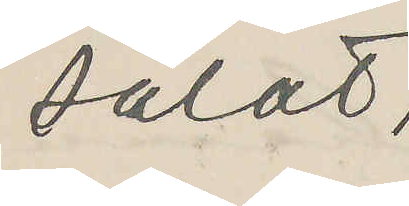sulat,
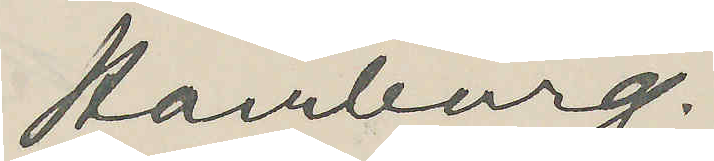Hamburg.
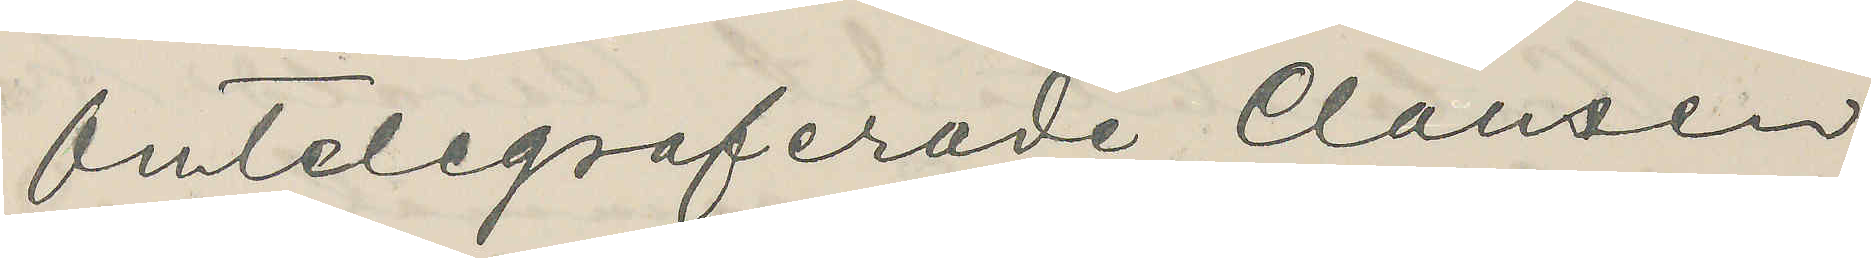Omtelegraferade Clausen
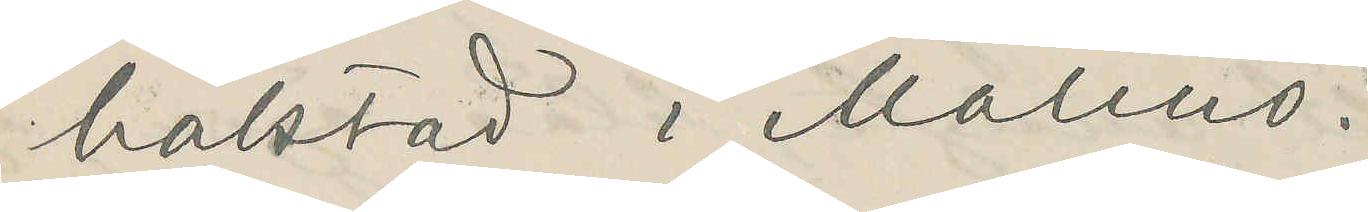häktad i Malmö.
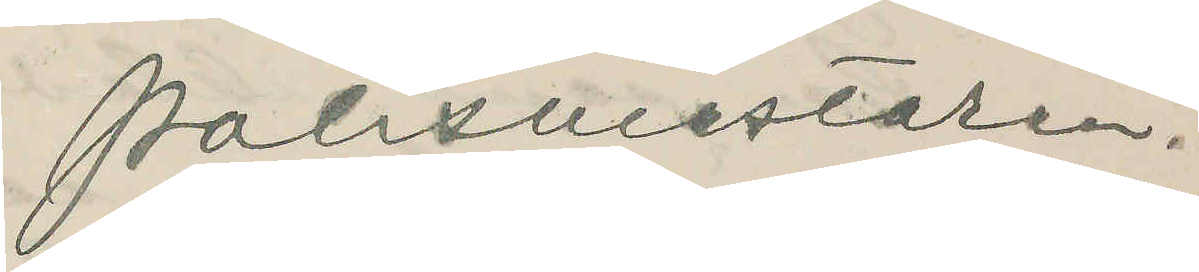Polismästaren.
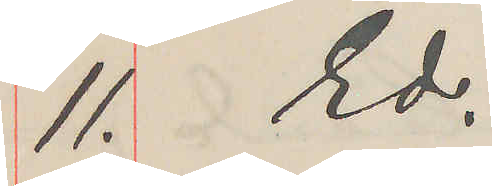11. Ed.
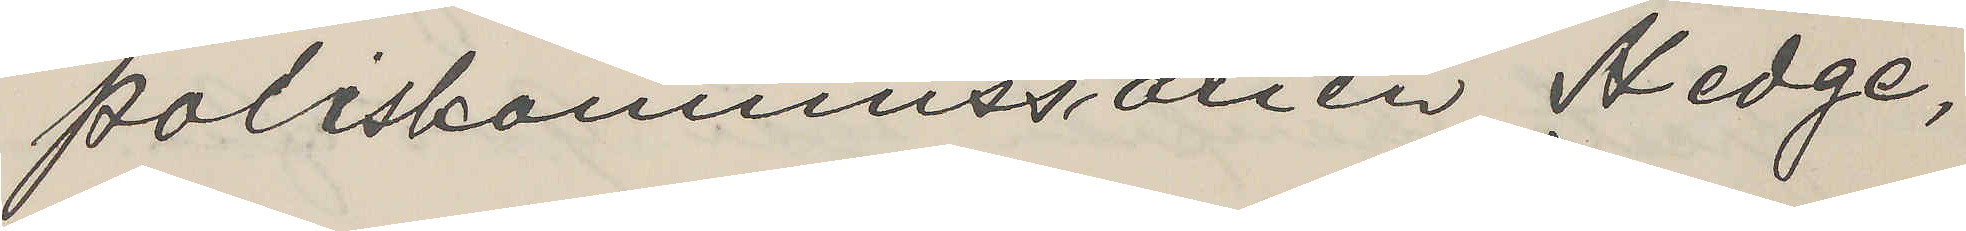Poliskommissarien Hedge,
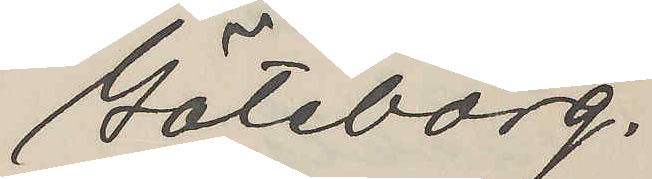Göteborg.
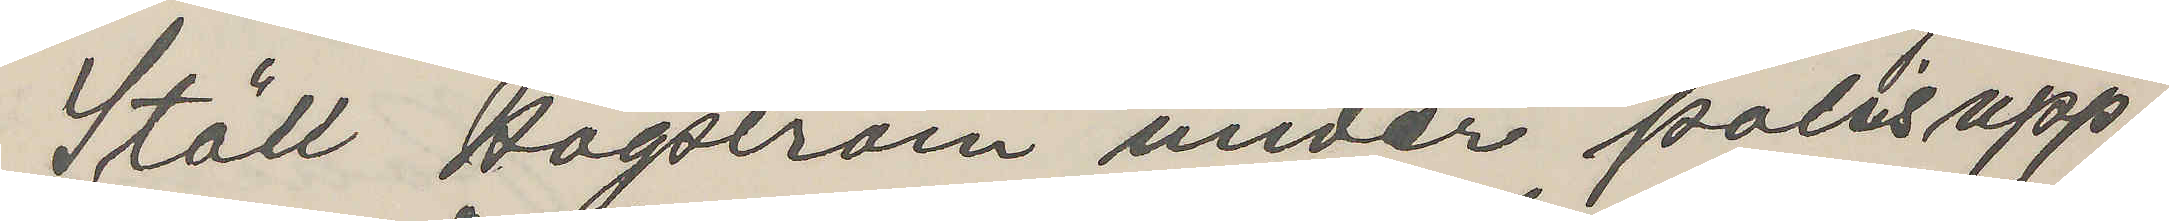Ställ Högström under polisupp¬
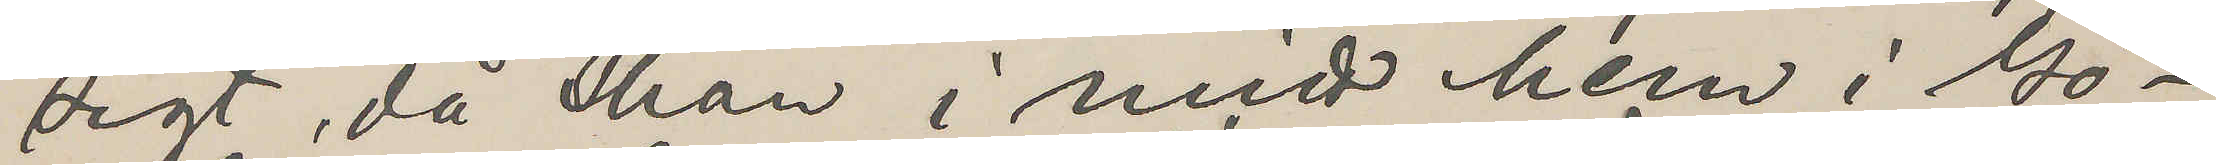sigt, då han i mitt hem i Gö¬
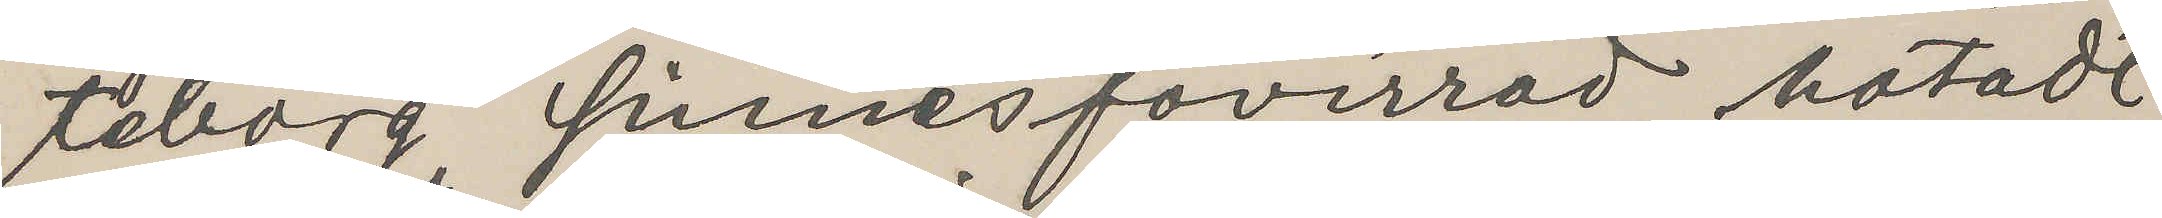teborg sinnesförvirrad hotadt
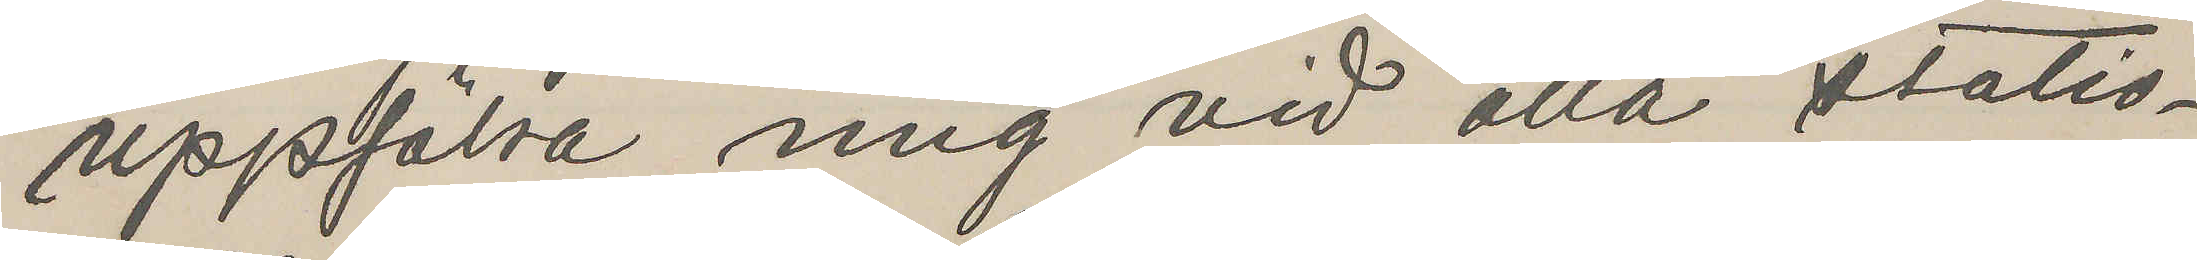uppsöka mig vid alla statio¬
